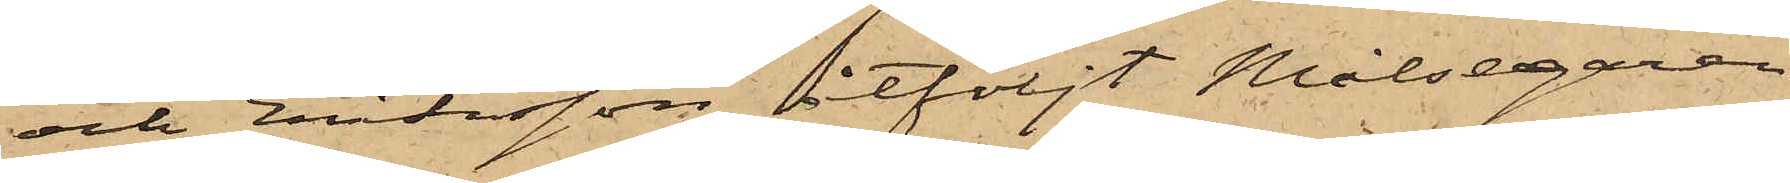och Eriksson åtföljt Målsegaren
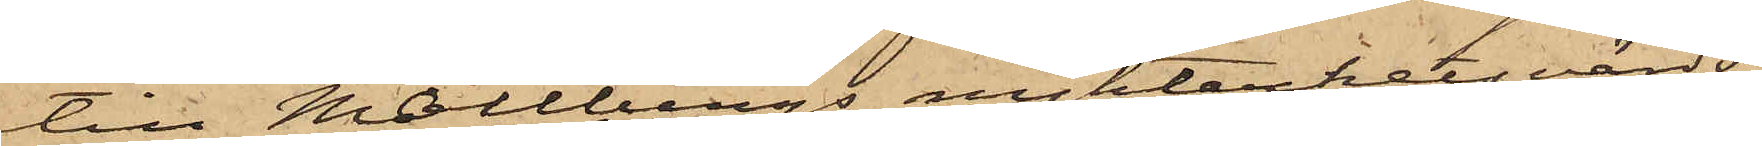till Mollbergs nykterketsvärds¬
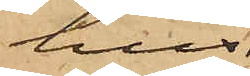hus
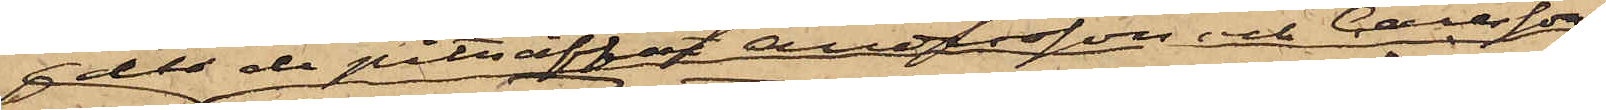der de påträffat Andersson och Carlsson;
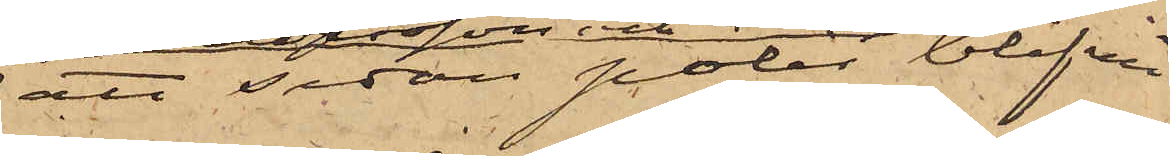att sedan polis blifvit
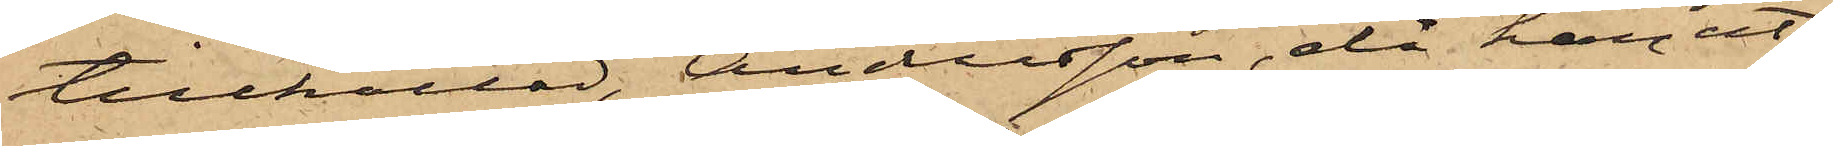tillkallad, Andersson, då han ut¬
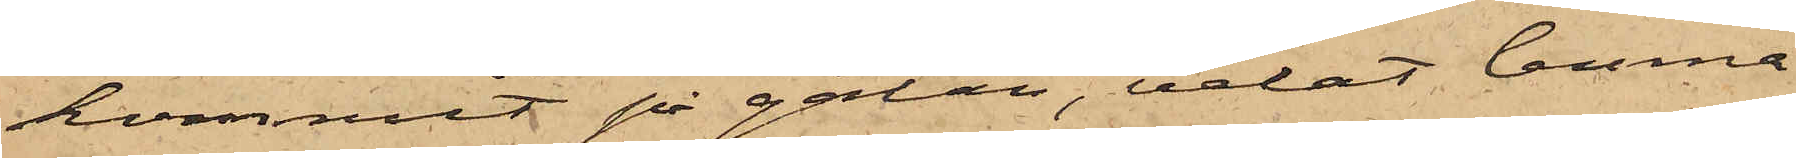kommit på gatan, velat lemna
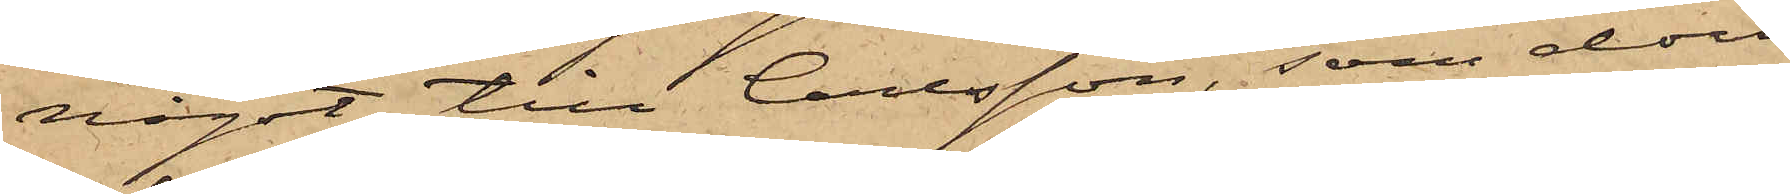något till Carlsson, som dock
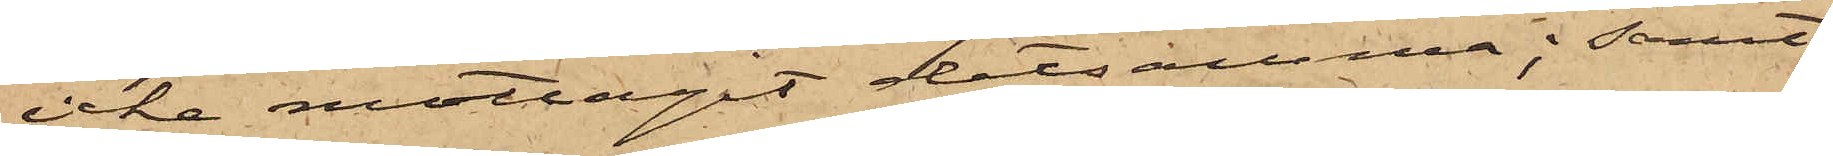icke mottagit detsamma; samt
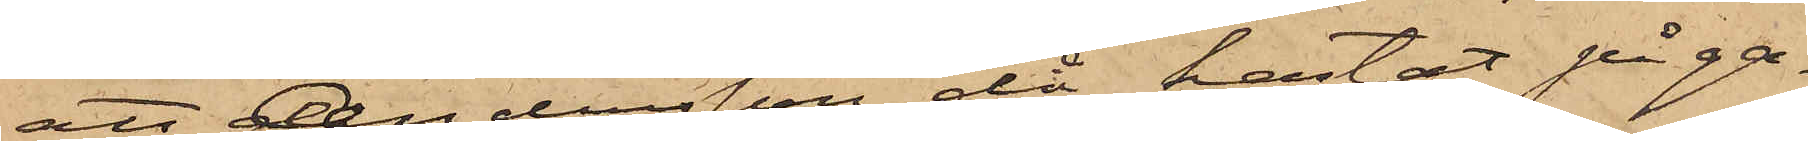att Andersson då kastat på ga¬
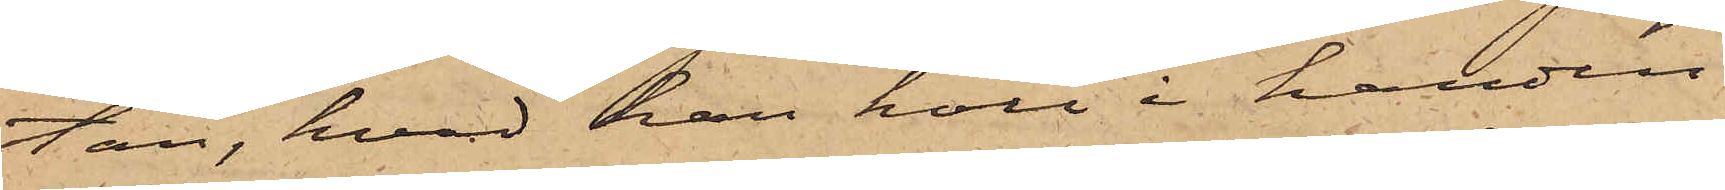tan, hvad han höll i handen,
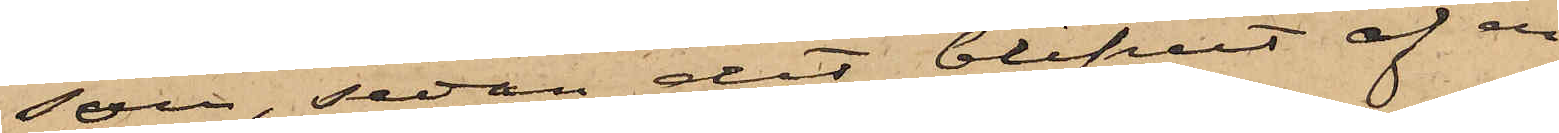som, sedan det blifvit af en
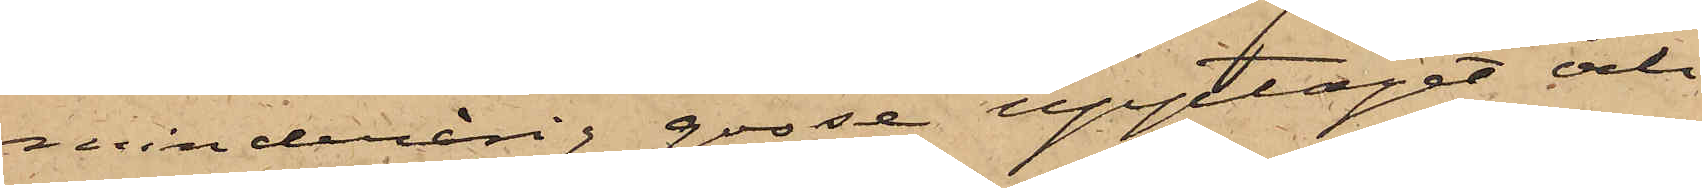minderårig gosse upptaget och
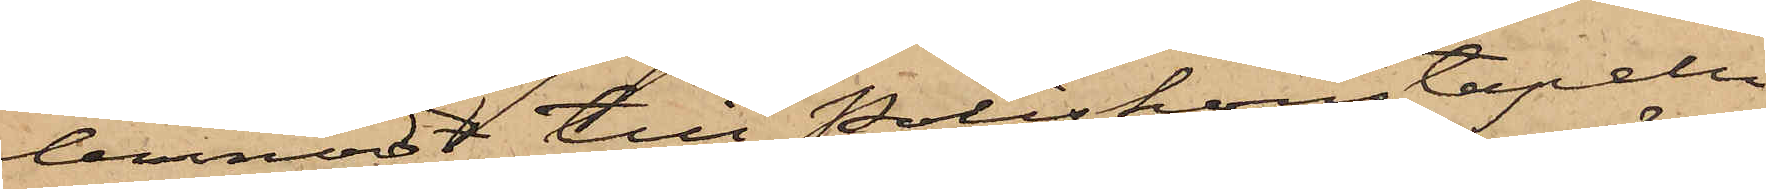lemnadt till Poliskonstapeln
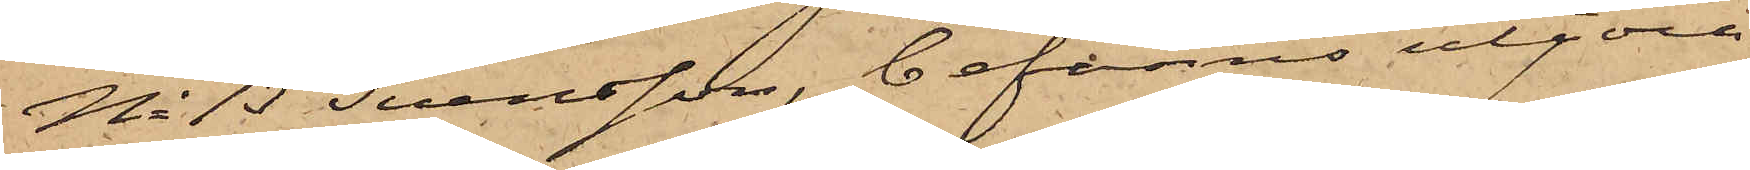No 13 Svensson, befanns utgöra
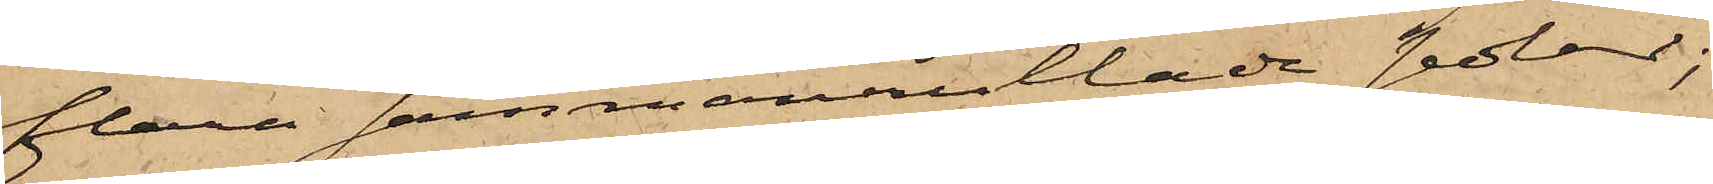flera sammanrullade sedlar;
